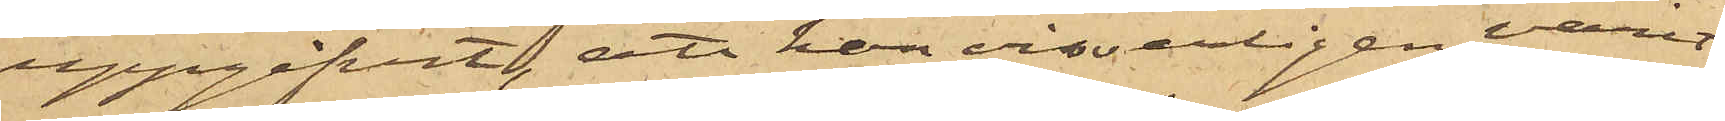uppgifvit, att han visserligen varit
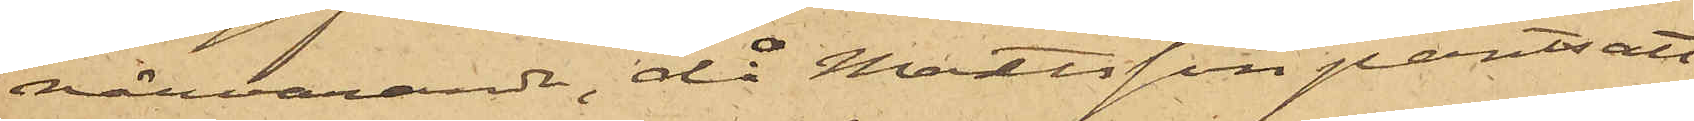närvarande, då Mattsson pantsatt
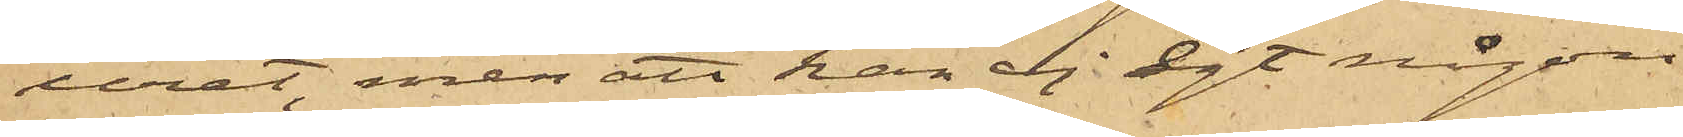uret, men att han ej ägt någon
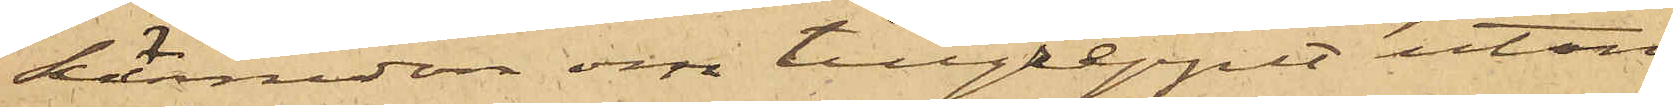kännedom om tillgreppet utan
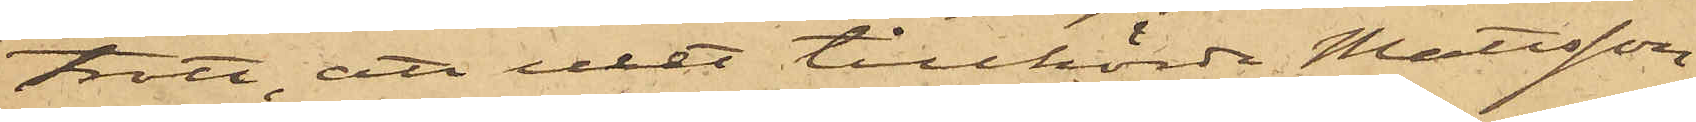trott, att uret tillhörde Mattsson.
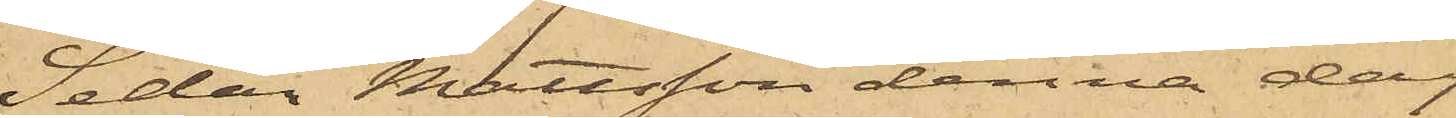Sedan Mattsson denna dag
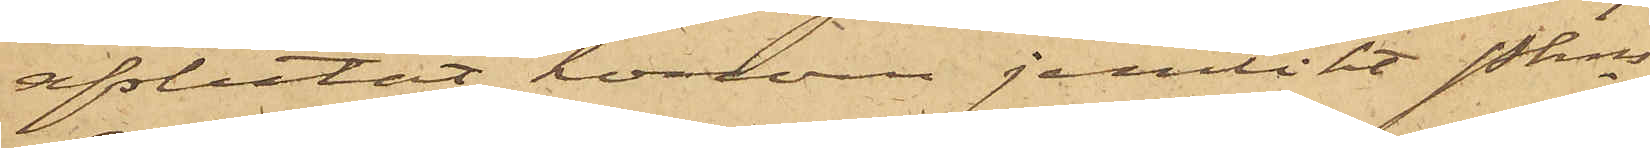afslutat honom jernlikt Pkns
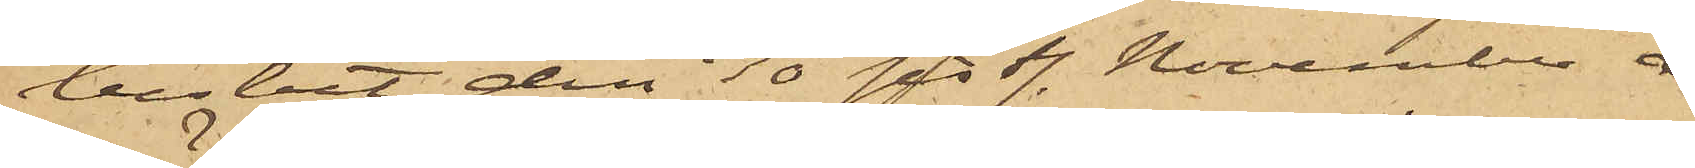beslut den 30 sist. November å¬
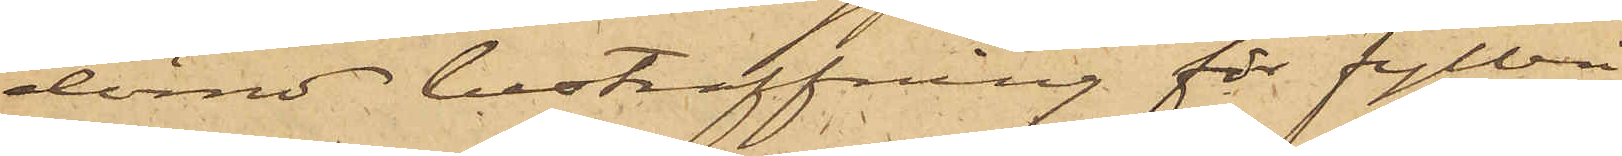dömd bestraffning för fylleri
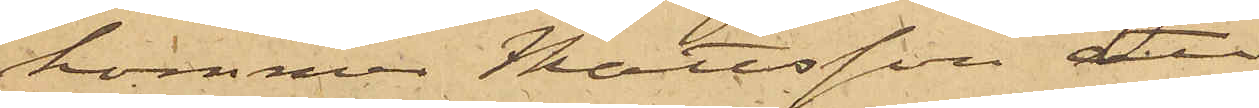kommer Mattsson att
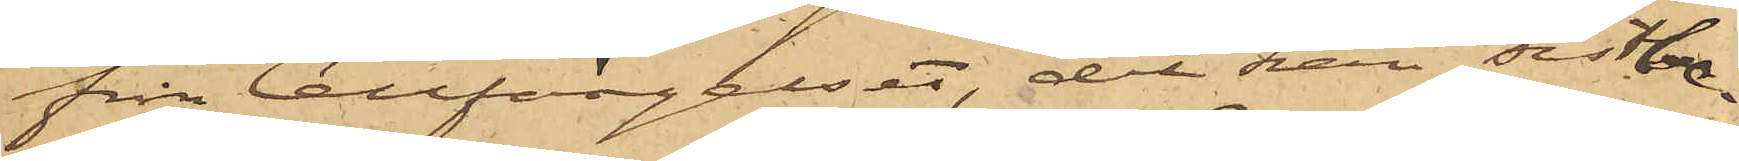från Cellfängelset, dit han sistbe¬
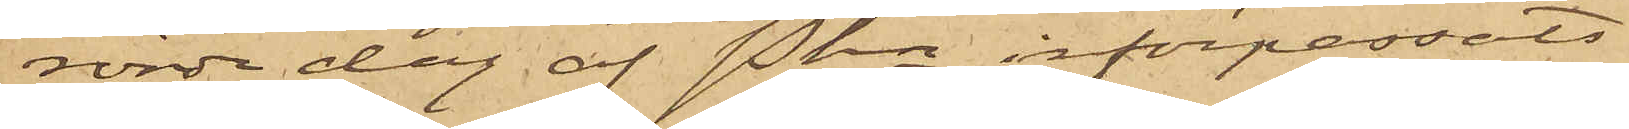rörde dag af Pkn införpassats,
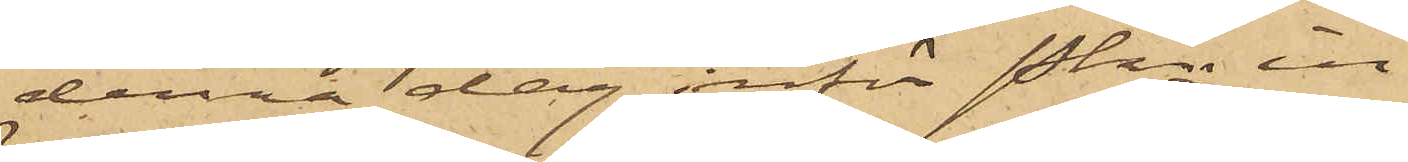denna dag inför Pkn in¬
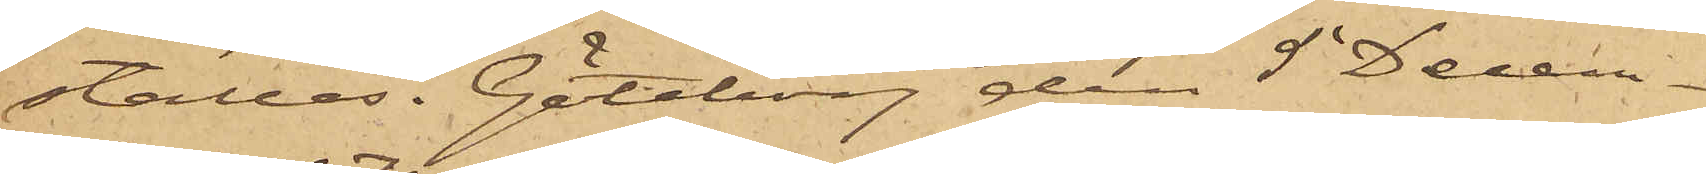ställas. Göteborg den 5 Decem¬
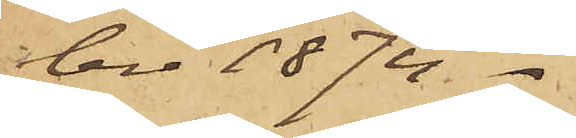ber 1874.
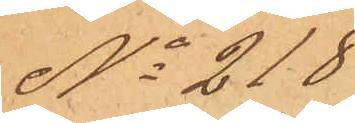No 218
